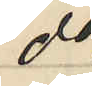do
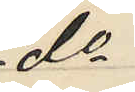do
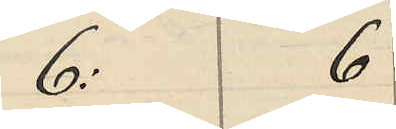6:  6
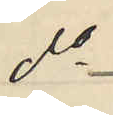do
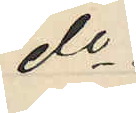do
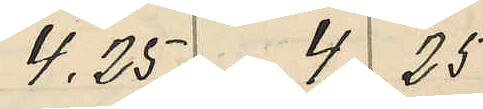4.25 4 25
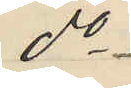do
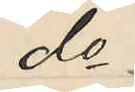do
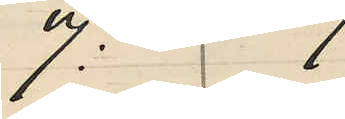7: 7
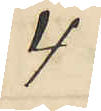4
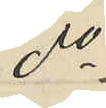do
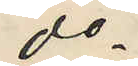do
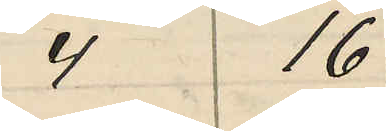4 16
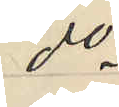do
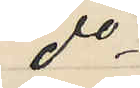do
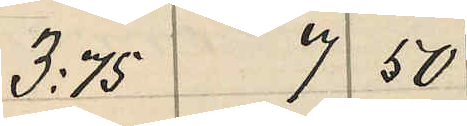3:75 7 50
